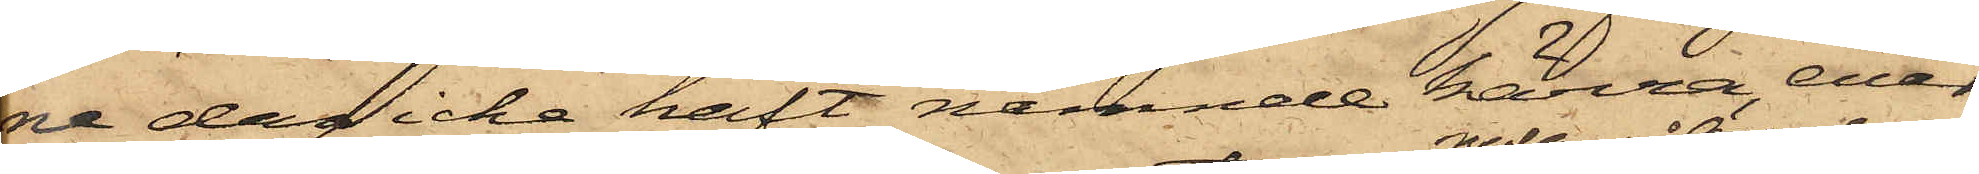ne dag icke haft nämnde kärra, enär
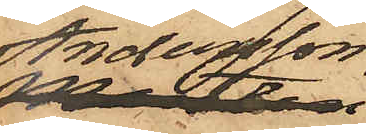Andersson
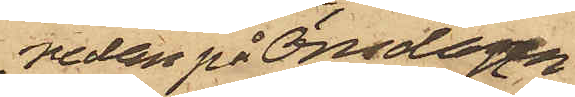nedan på Onsdagen
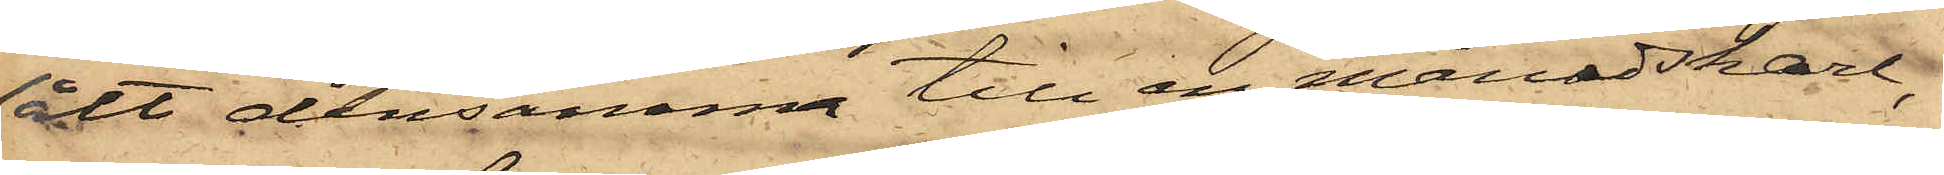sålt densamma till en månadskarl,
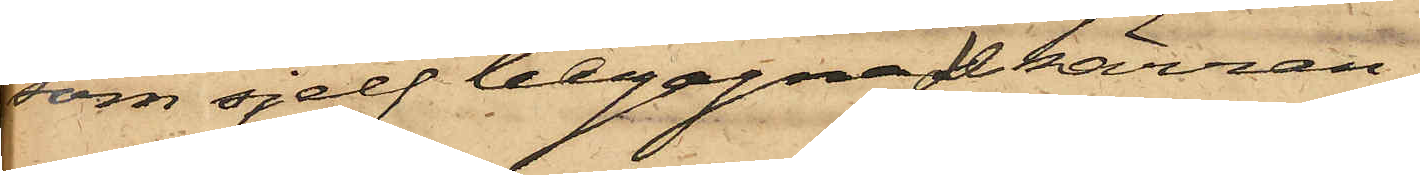som sjelf begagnade kärran.
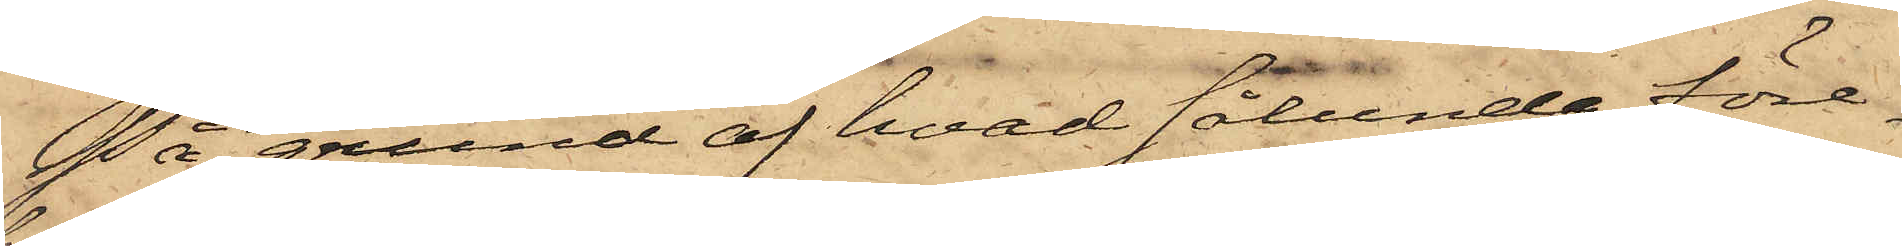På grund af hvad sålunda före¬
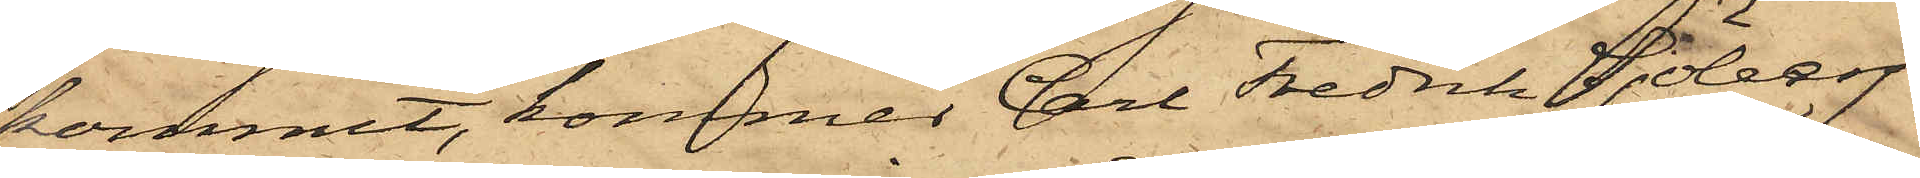kommit, kommer Carl Fredrik Sjöberg
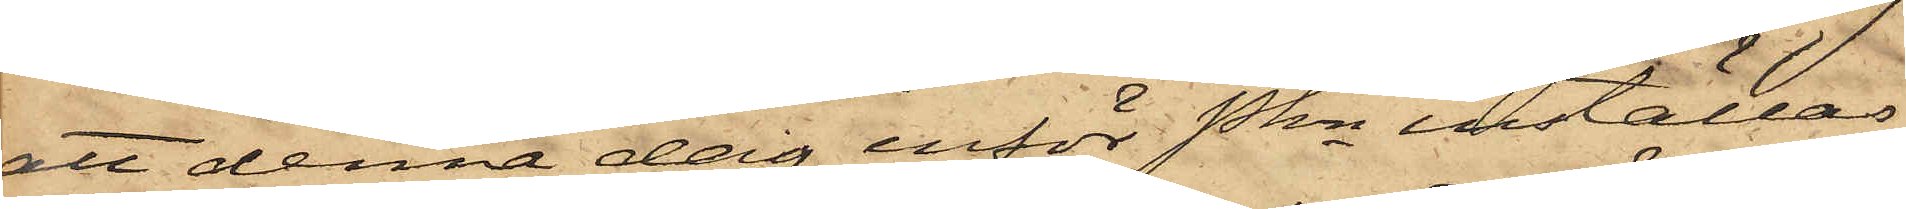att denna dag inför Pkn inställas,
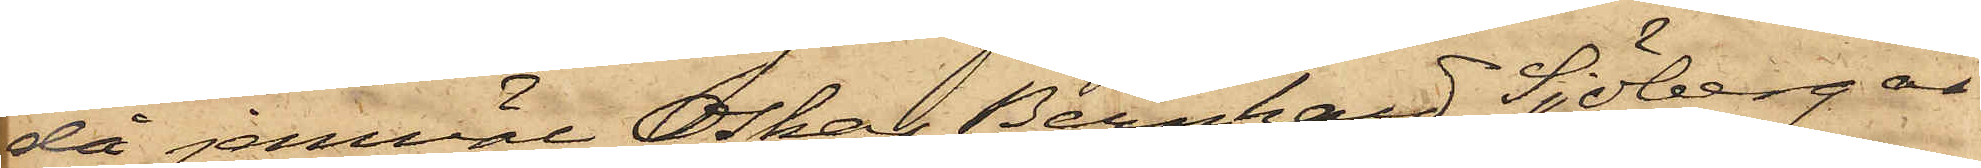då jemväl Oskar Bernhard Sjöberg är
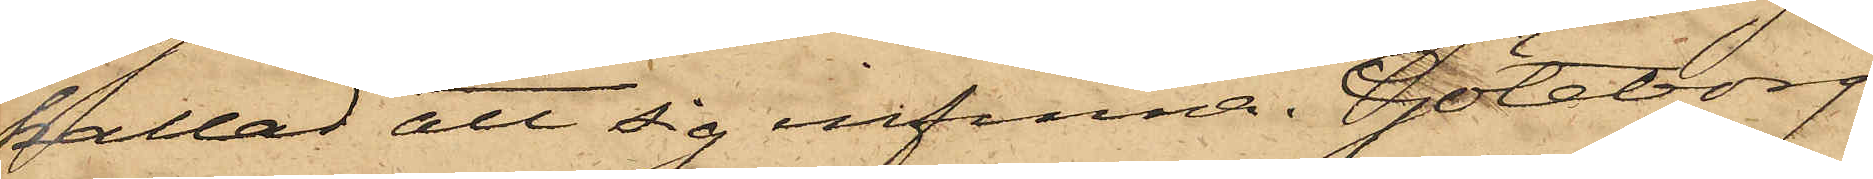kallad att sig infinna. Göteborg
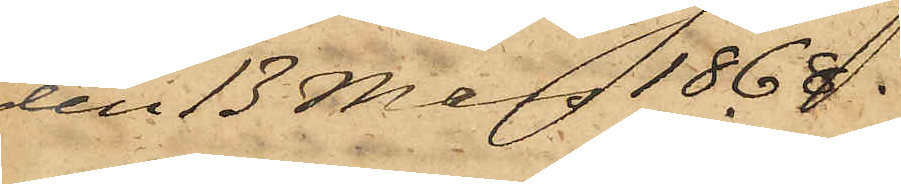den 13 Mars 1868.
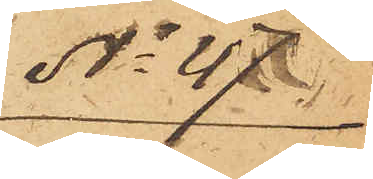No 47.
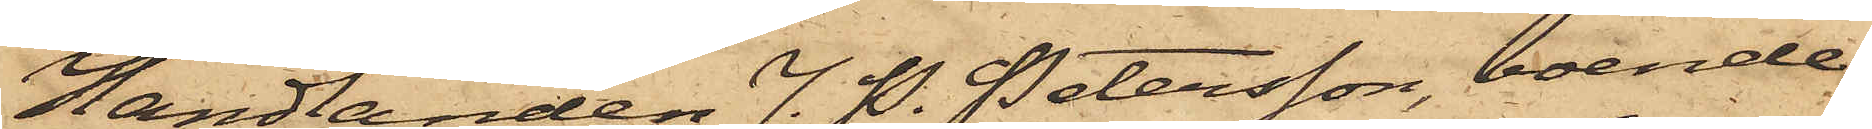Handlanden J. H. Petersson, boende
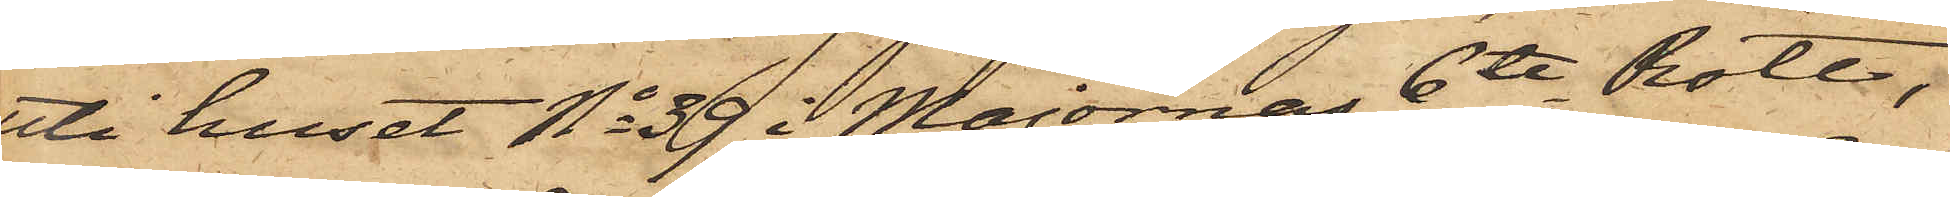uti huset No 39 i Majornas 6te Rote,
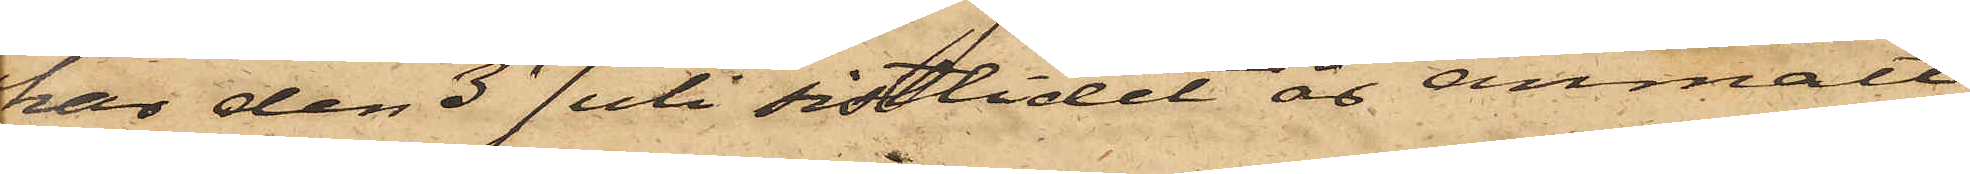har den 3 Juli sistlidet år anmält,
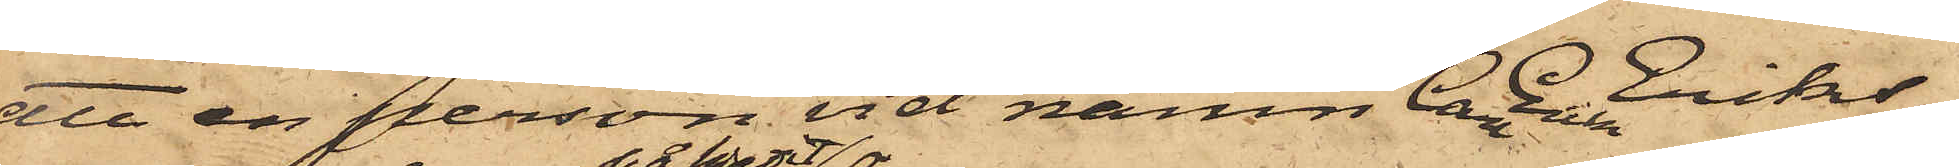att en person vid namn Carl Erik Eriks¬
